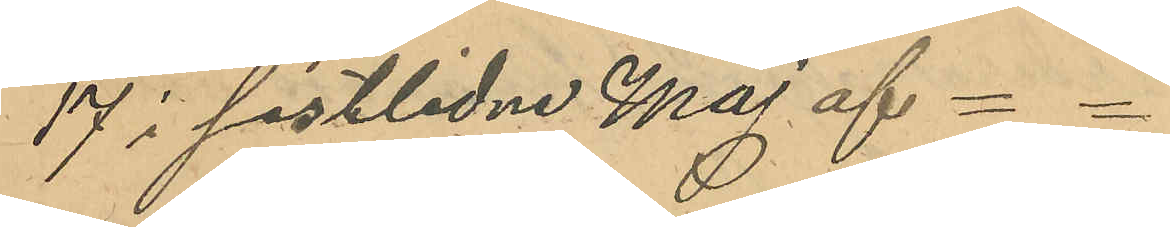17 i sistlidne Maj af
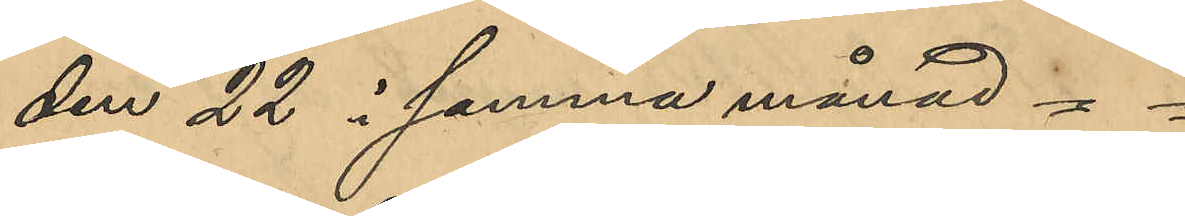den 22 i samma månad = =
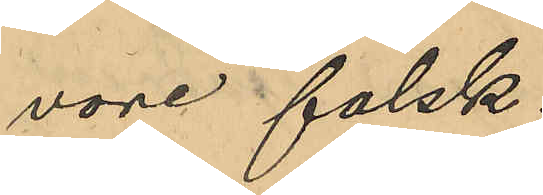vore falsk.
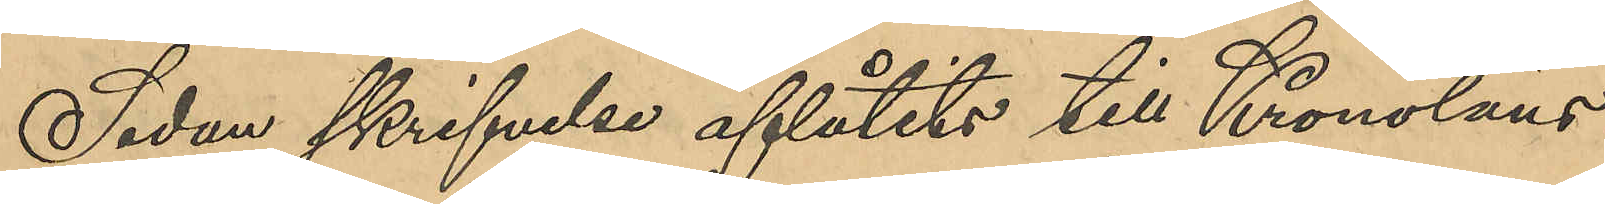Sedan skrifvelse aflåtits till Kronoläns¬
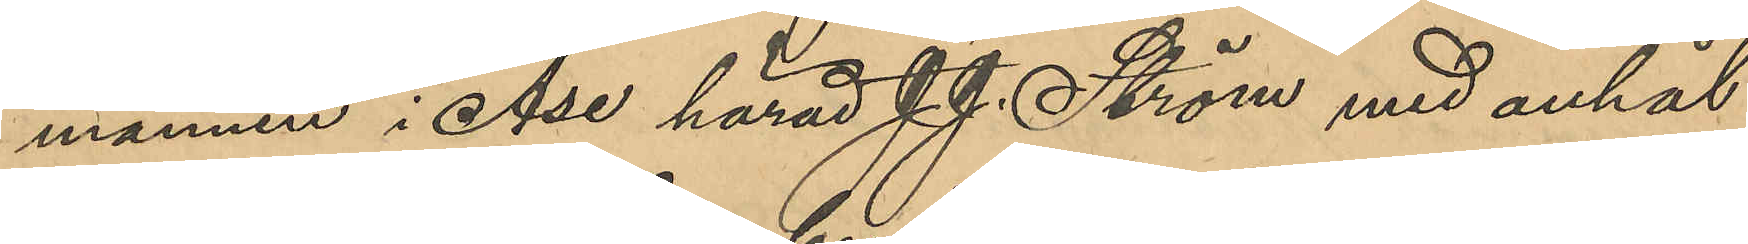mannen i Åse härad J. J. Ström med anhål¬
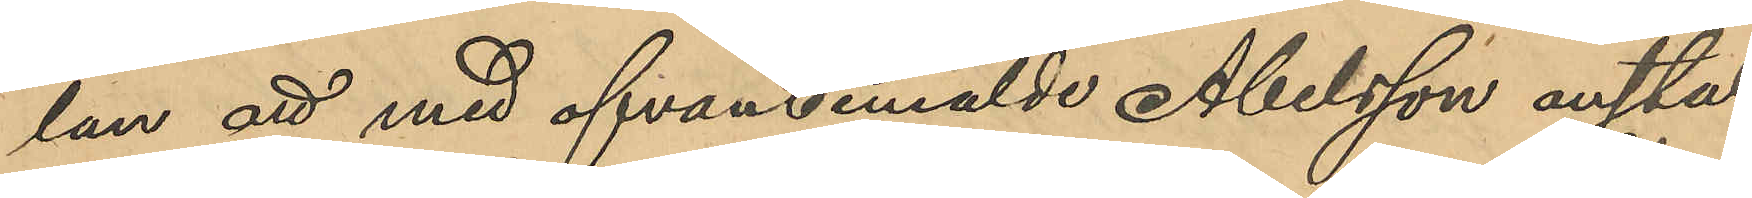lan att med ofvan bemälde Abelsson anstäl¬
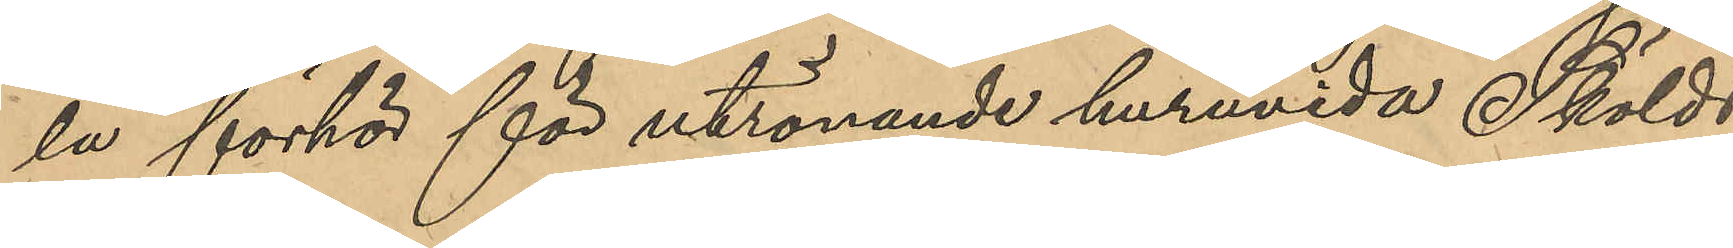la förhör för utrönande huruvida Skölds
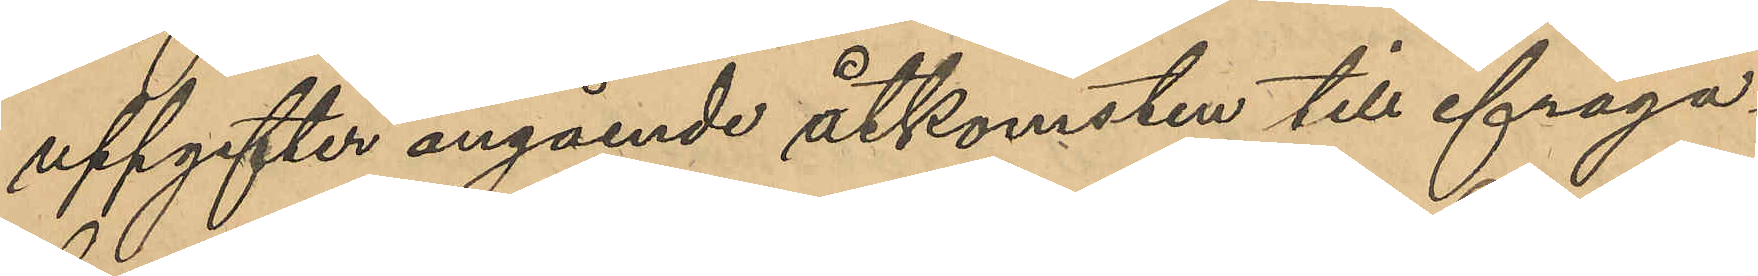uppgifter angående åtkomsten till ifråga¬
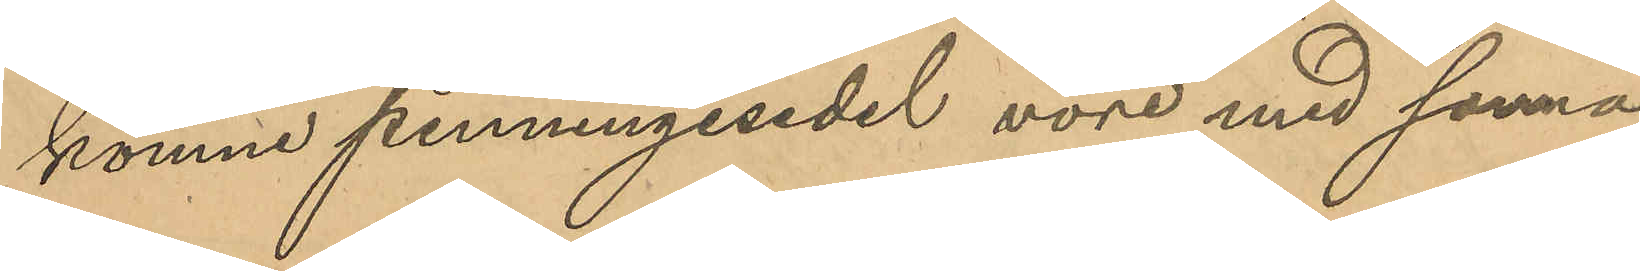komne penningsedel vore med sanna
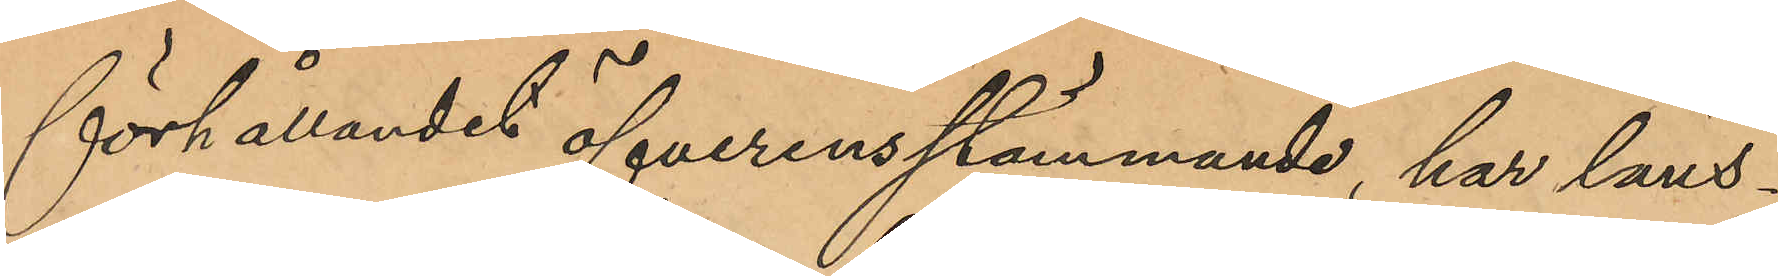förhållandet öfverensstämmande, har läns¬
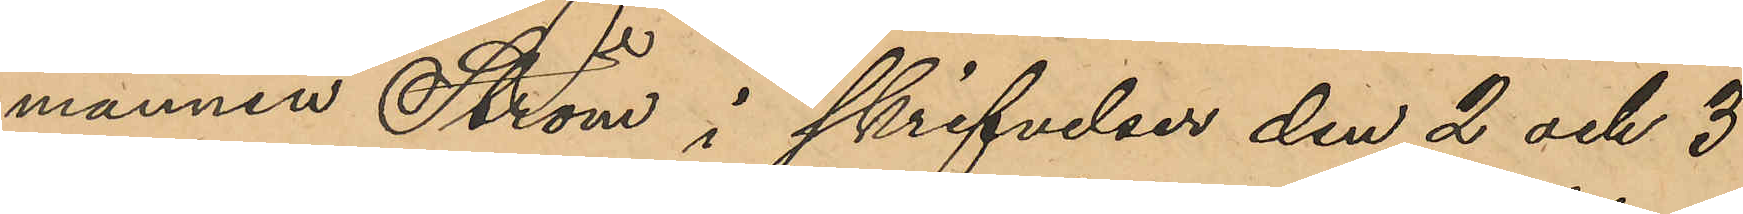mannen Ström i skrifvelse den 2 och 3
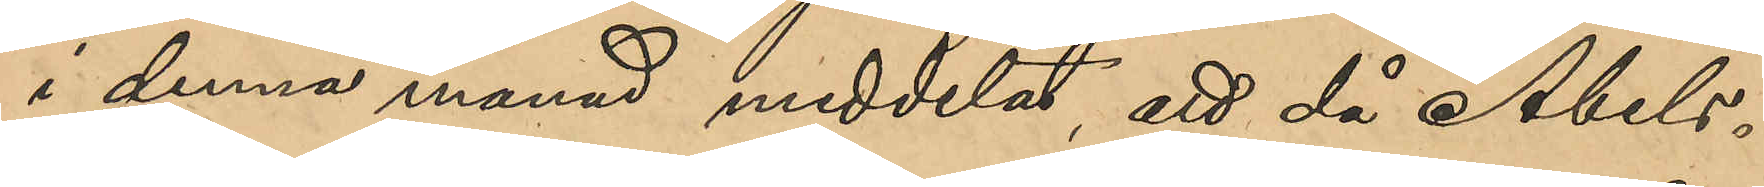i denna månad meddelat, att då Abels¬
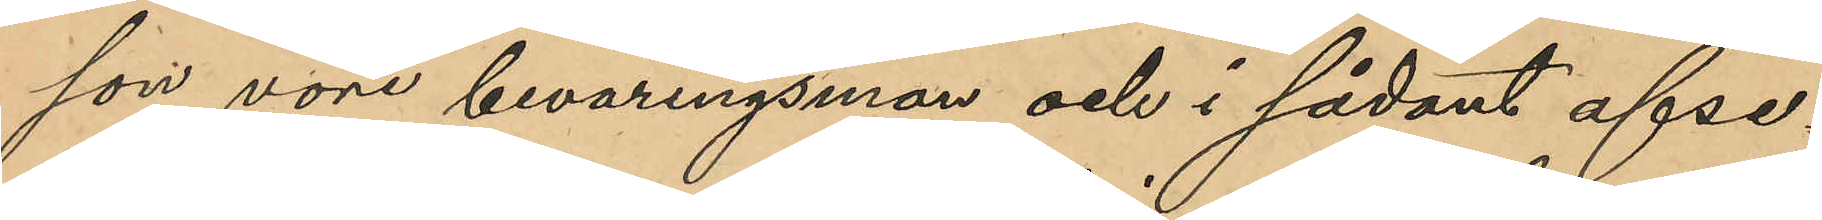son vore beväringsman och i sådant afse¬
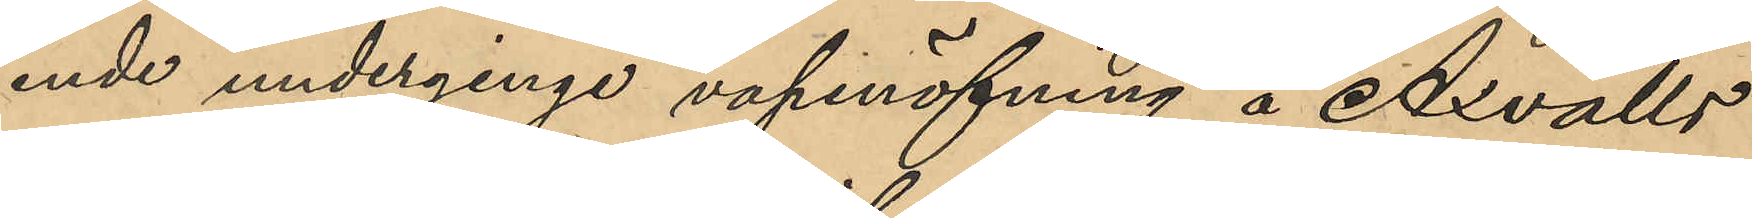ende underginge vapenöfning å Axvalls
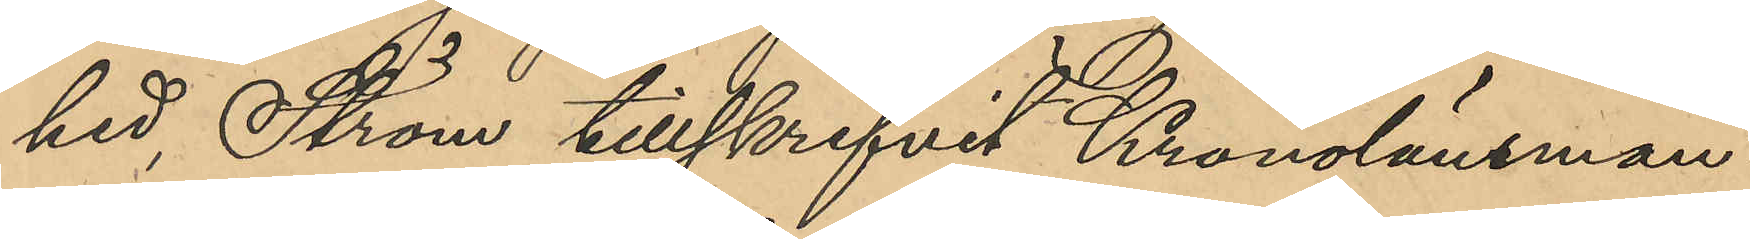hed; Ström tillskrifvit Kronolänsman¬
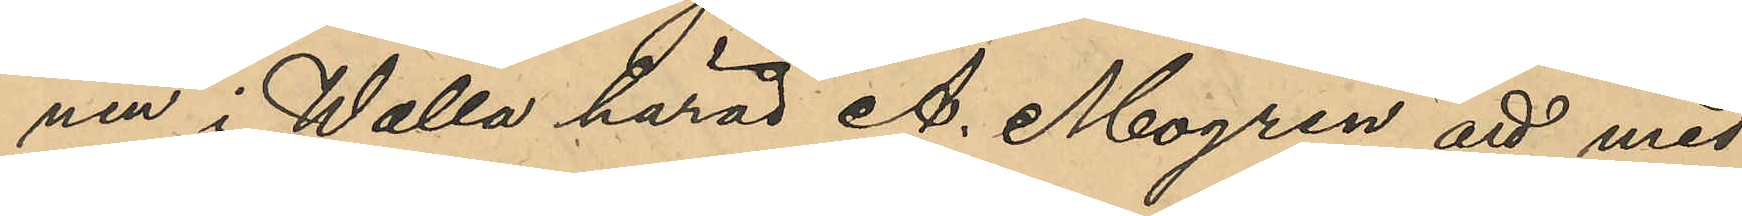nen i Walla härad A. Mogren att med
